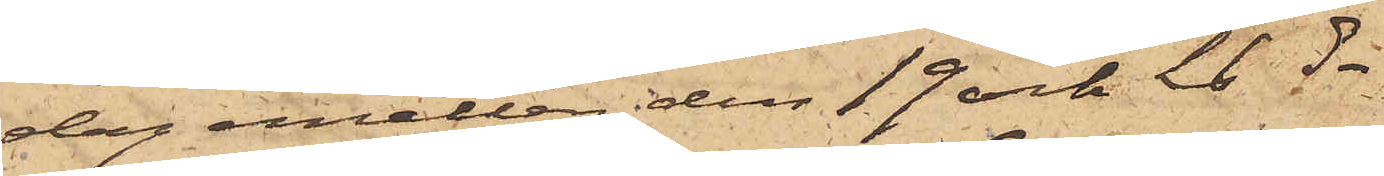dag emellan den 19 och 21 ds.
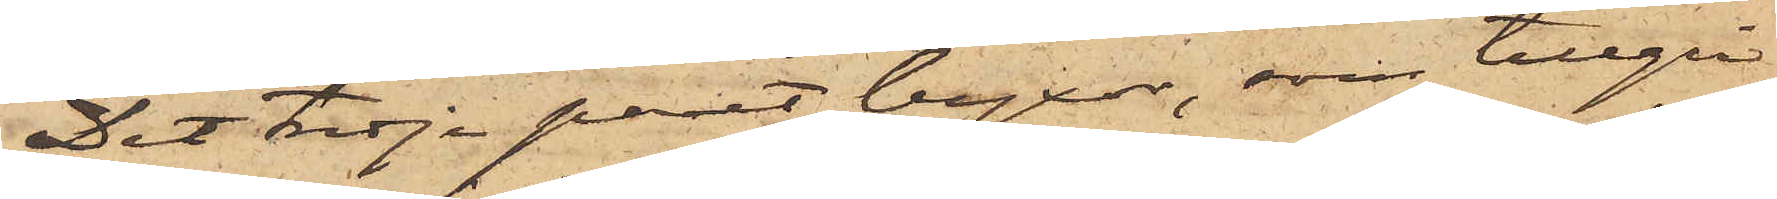Det tredje paret byxor, som tillgri¬
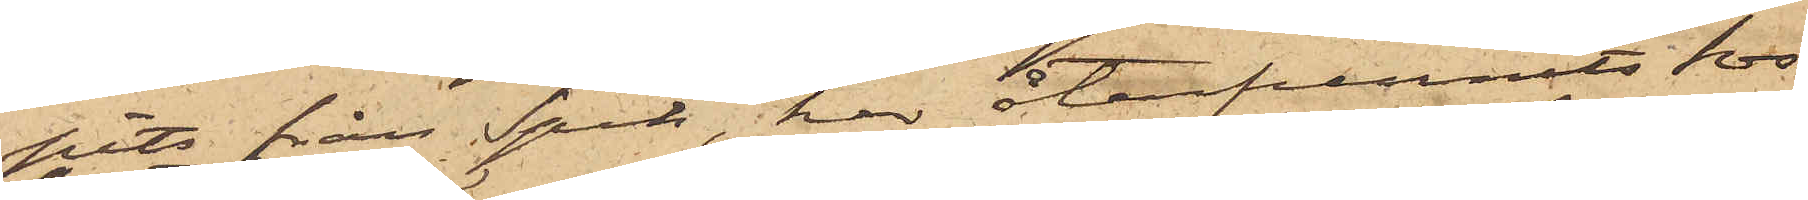pits från Spik, har återfunnits hos
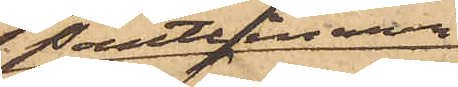Pantlånaren
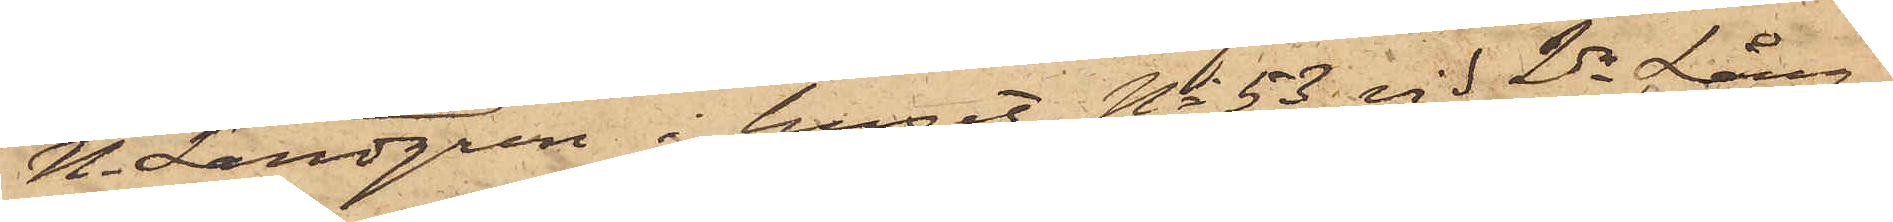N. Landgren i huset No 53 vid 2dra Lång¬
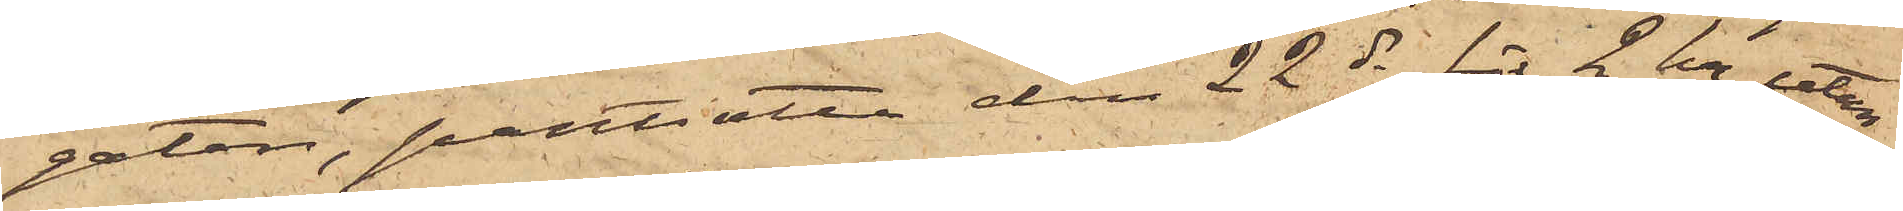gatan, pantsatta den 22 ds för 2 kr, utan
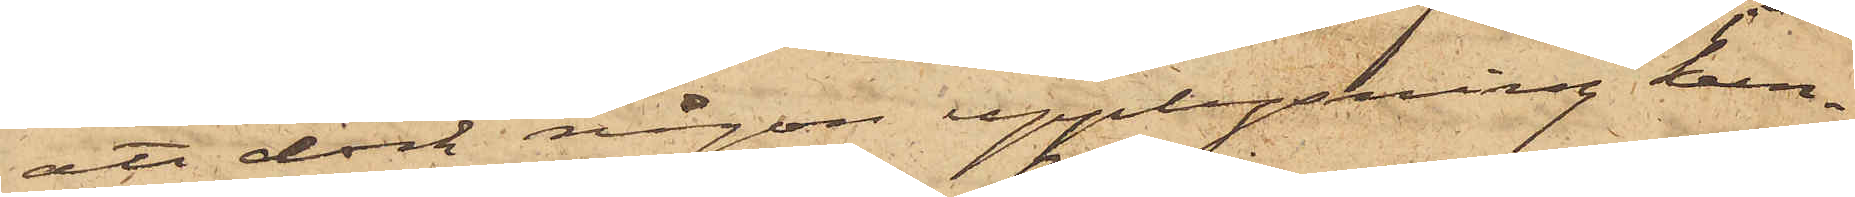att dock någon upplysning kun¬
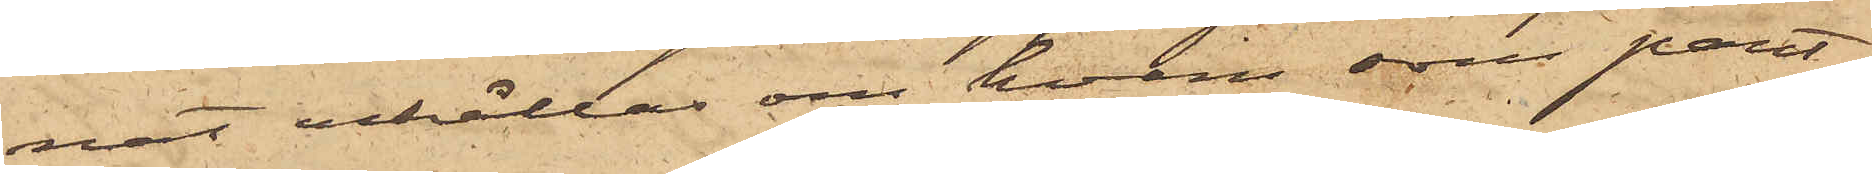nat erhållas om hvem som pant¬
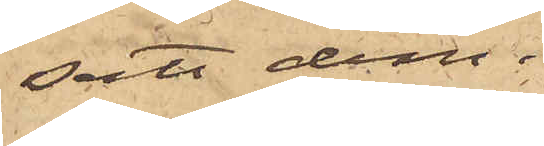satt dem.
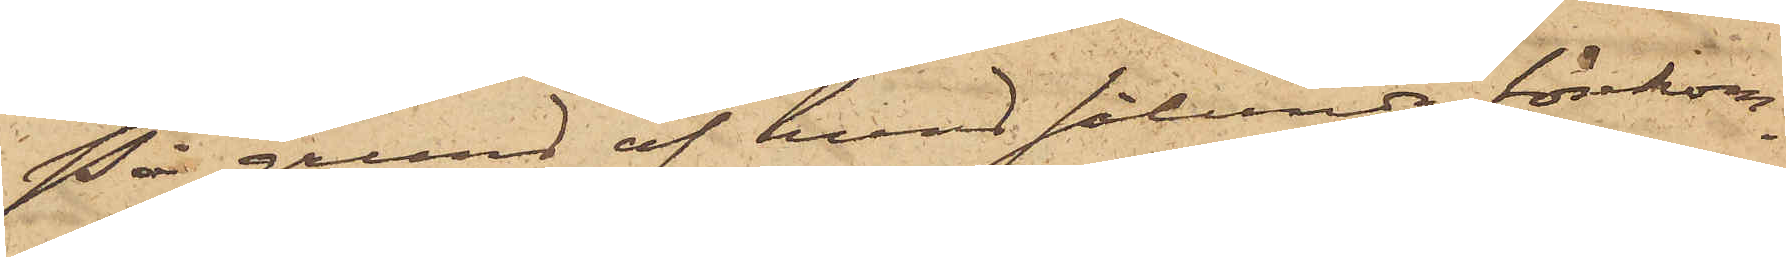På grund af hvad sålunda förekom¬
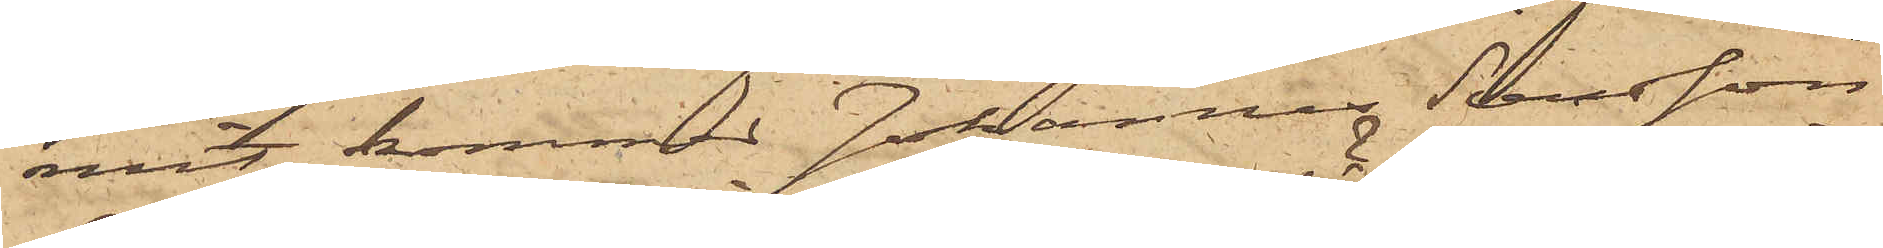mit, kommer Johannes Svensson
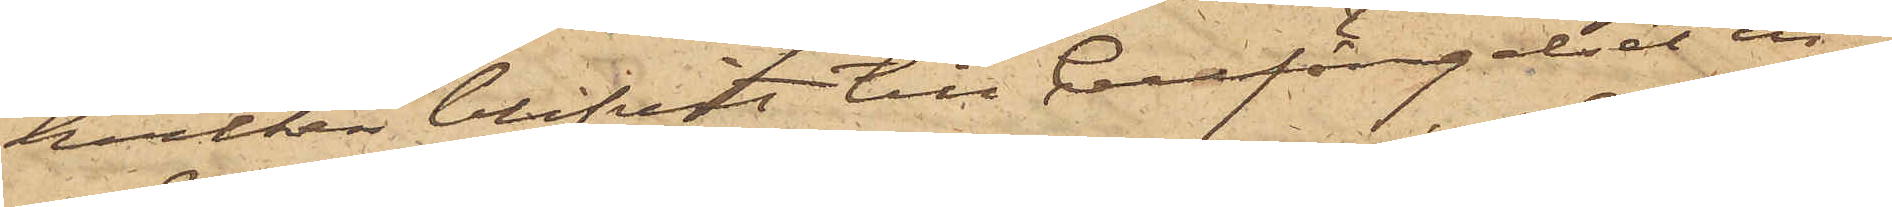hvilken blifvit till Cellfängelset in¬
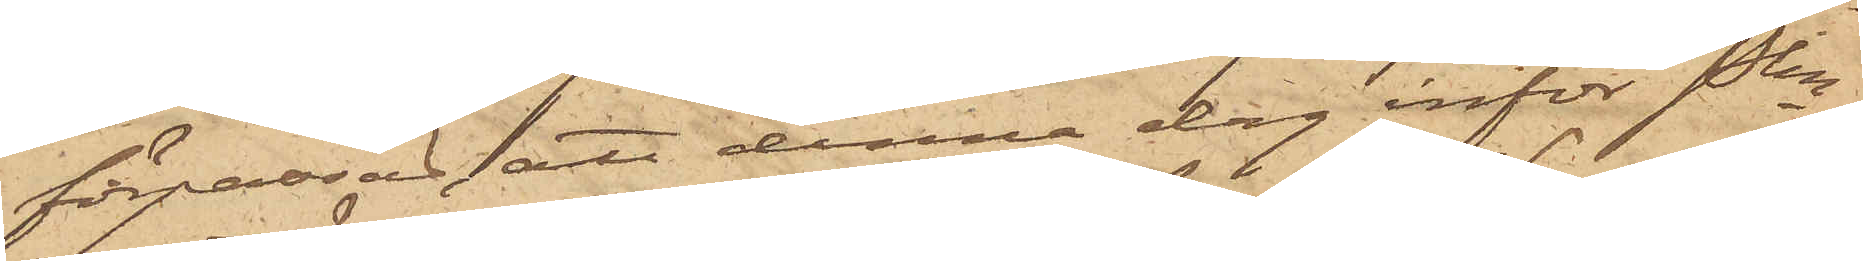förpassad att denna dag inför Pkn
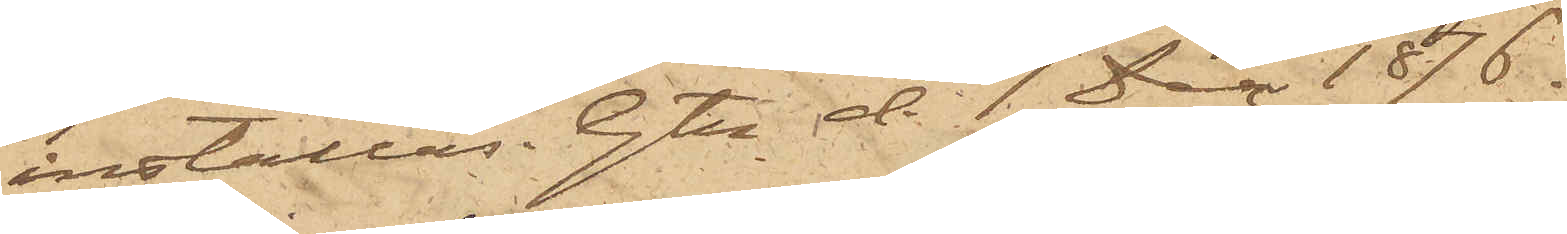inställas. Gtn d. 1 Dec 1876.
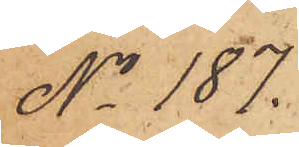No 187.
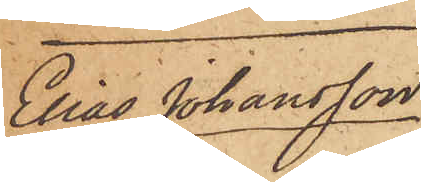Elias Johansson
